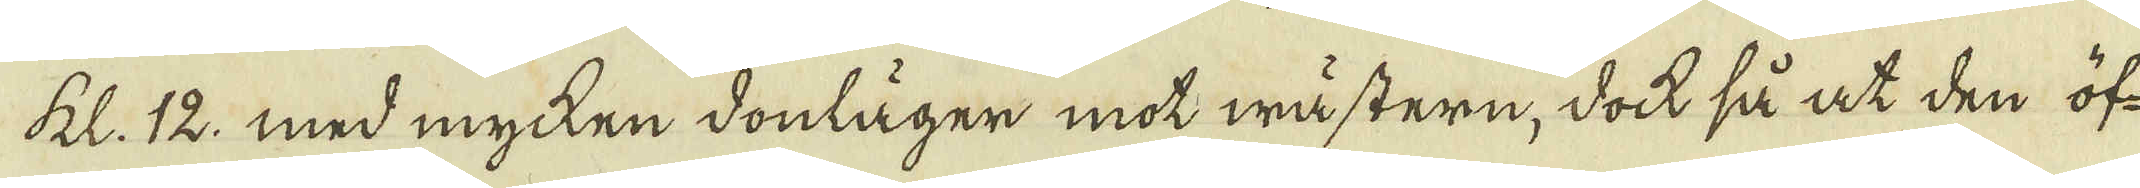kl. 12, med mycken donläger mot wästern, dock så at den öf-
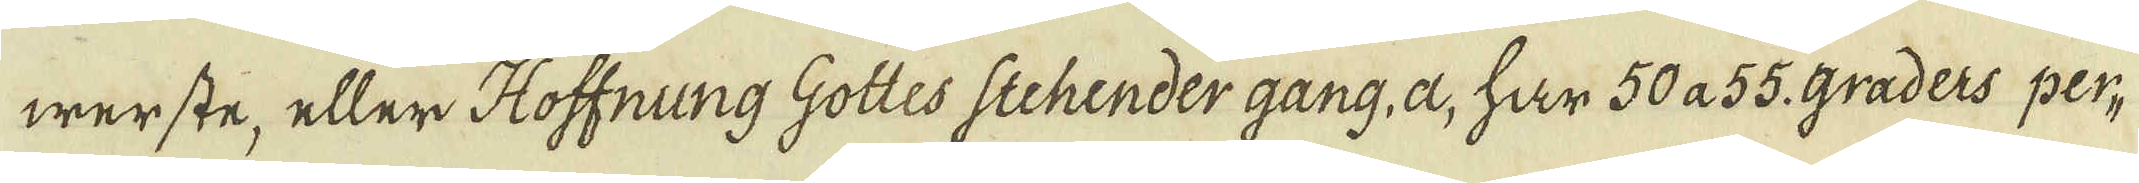werste, eller Hoffnung Gottes Stehender gang, a, har 50 a 55. graders per-
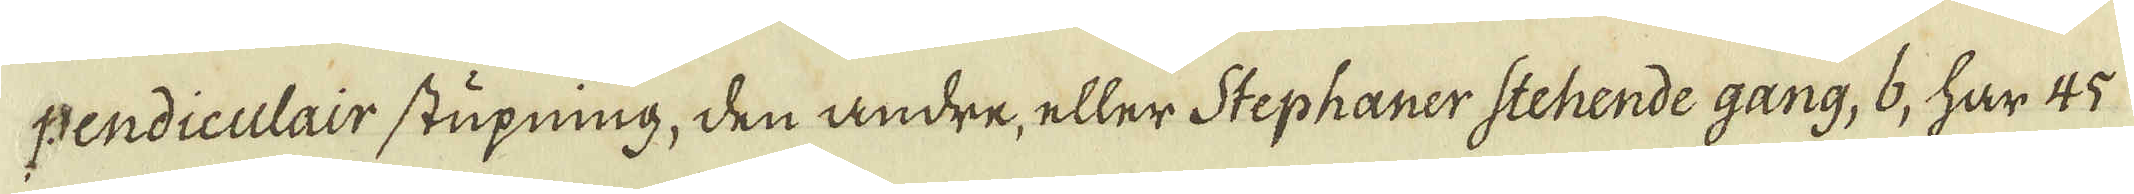pendiculair stupning, den andre, eller Stephaner Stehende gang, 6, har 45
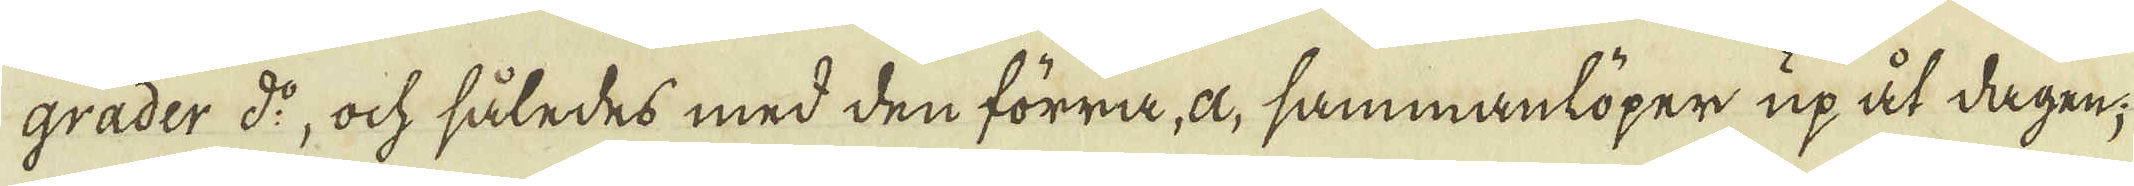grader d:o, ock således med den förra, a, sammanlöper upåt dagen;
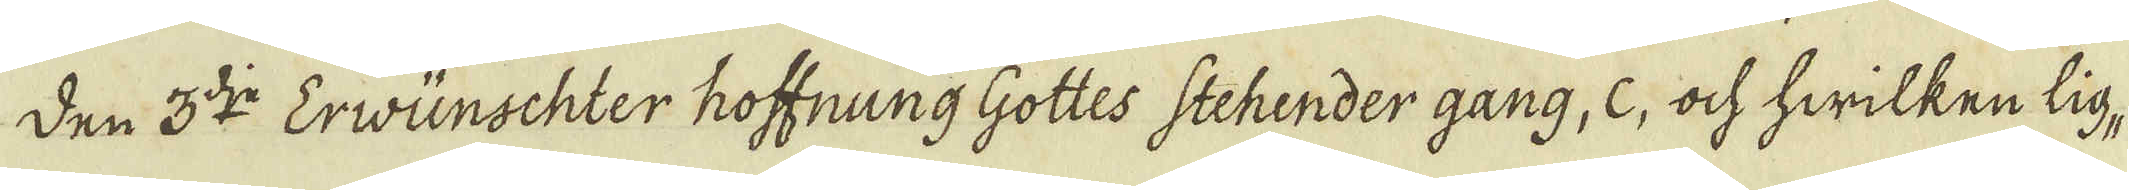Den 3:dje Ervünschter hoffnung Gottes Stehender gang, c, ock hwilken lig-
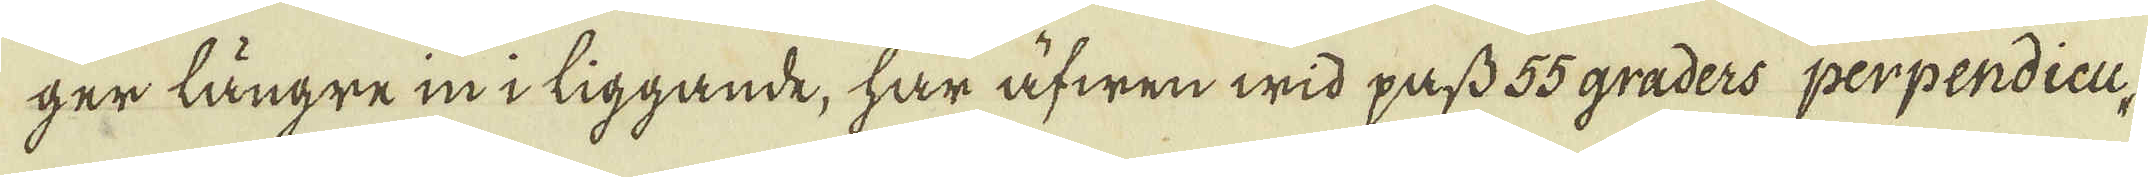ger längre in i liggande, har äfwen wid pass 55 graders perpendicu,
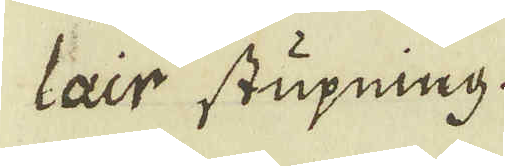lair stupning.
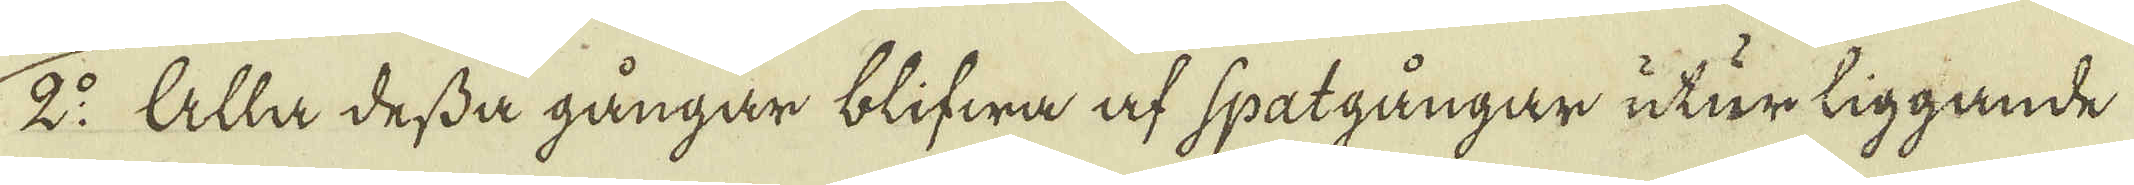2:o Alla dessa gångar blifwa af spatgångar utur liggande
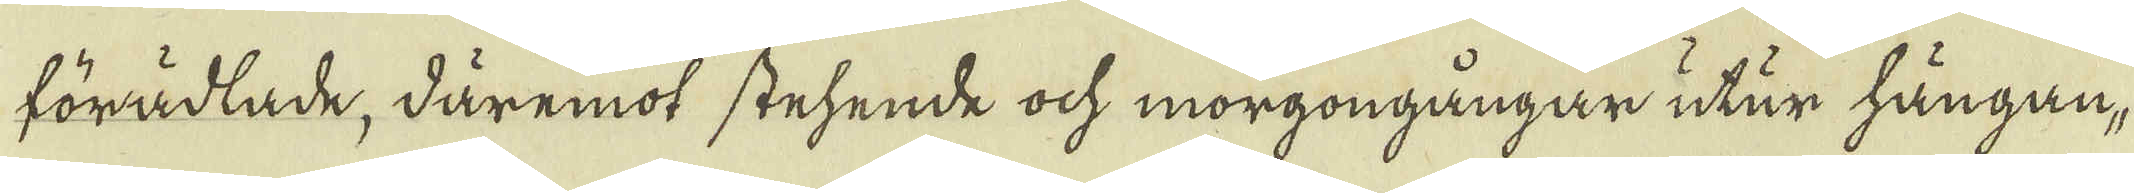förädlade, däremot stehende ock morgongångar utur hängan-
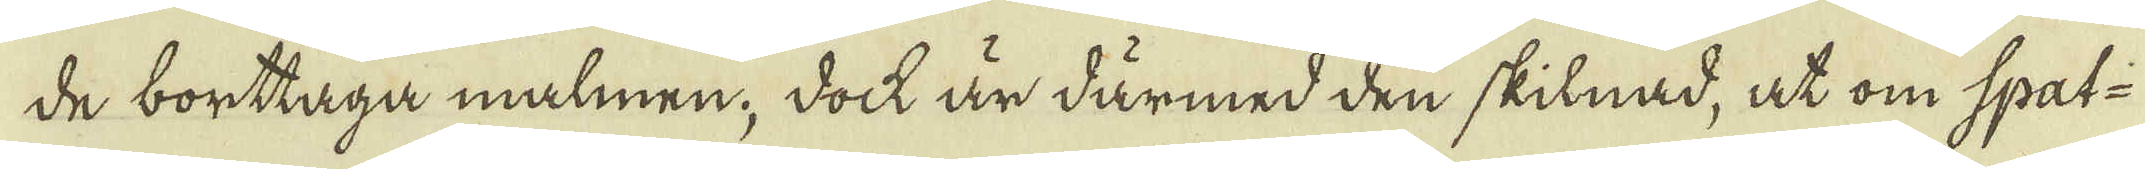de borttaga malmen; dock är därmed den skilnad, at om spat-
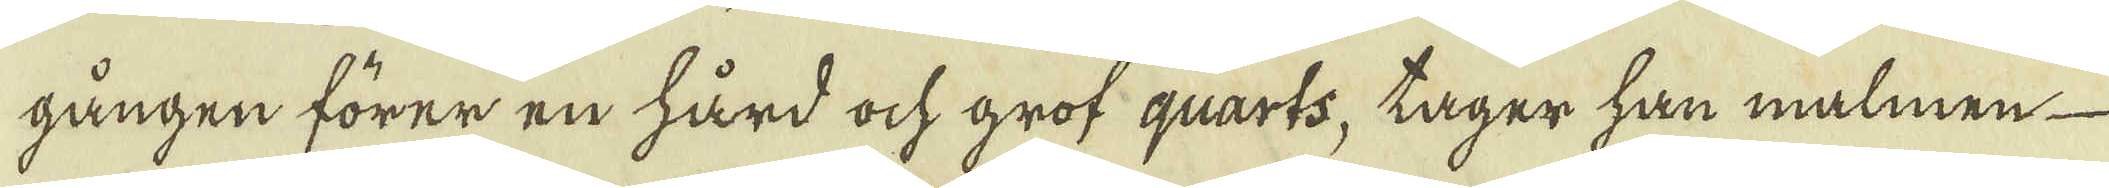gången förer en hård ock grof qvarts, tager han malmen
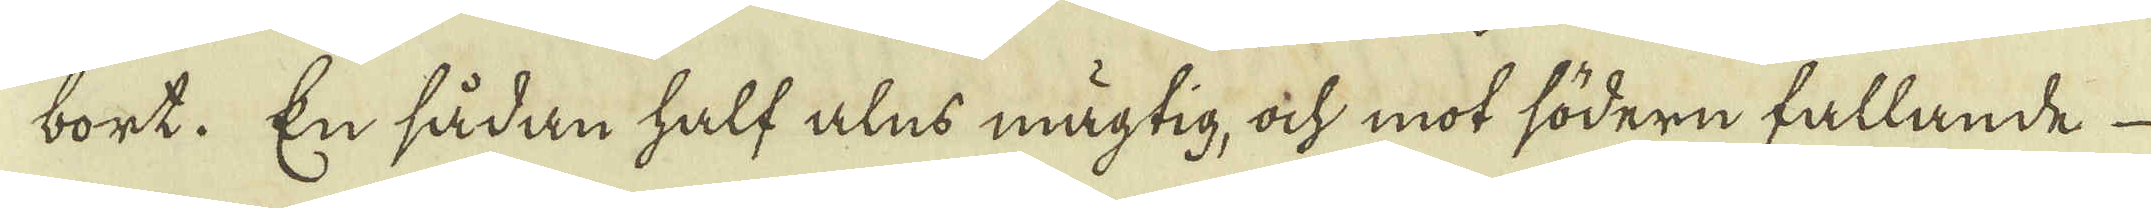bort. En sådan half alns mägtig, ock mot södern fallande
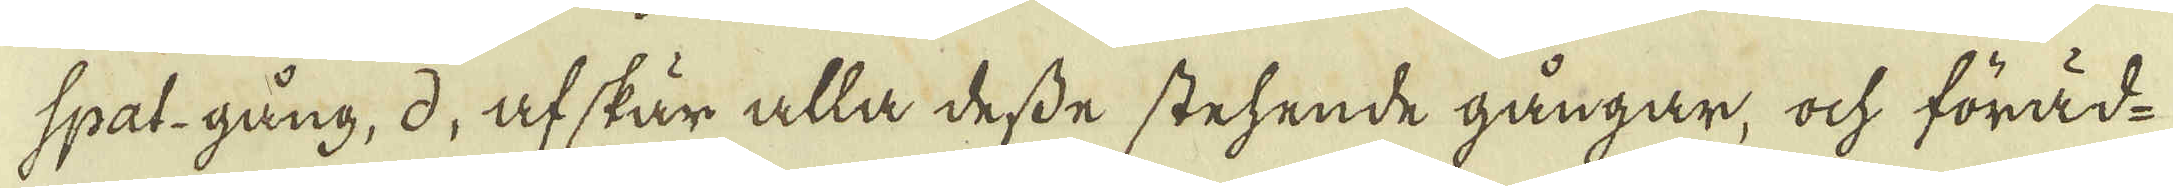spat-gång, d, af skär alla desse stehende gångar, ock föräd-
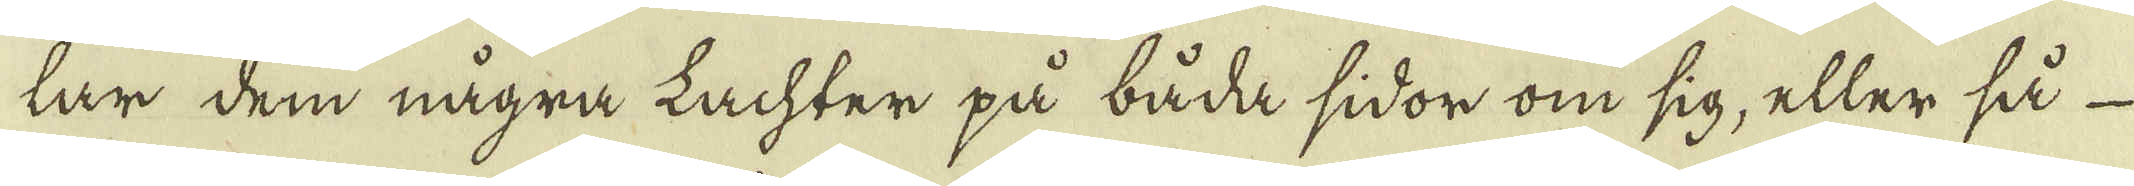lar dem några Lachter på båda sidor om sig, eller så
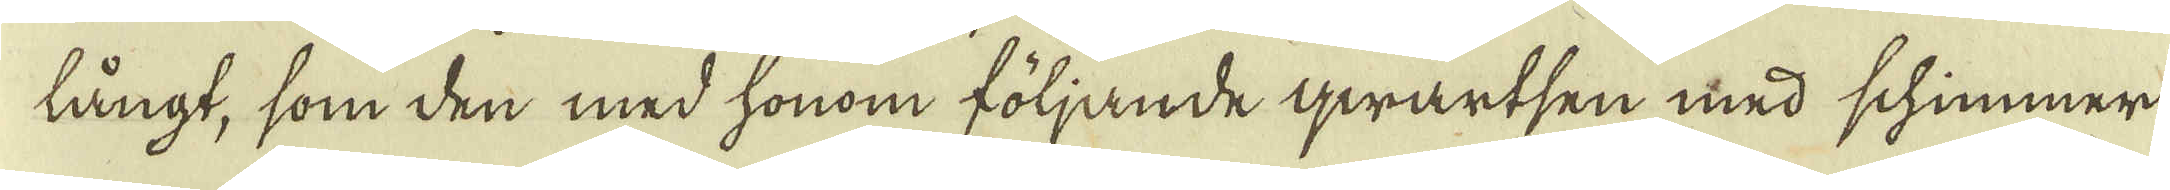långt, som den med honom följande qwartsen med schimmer
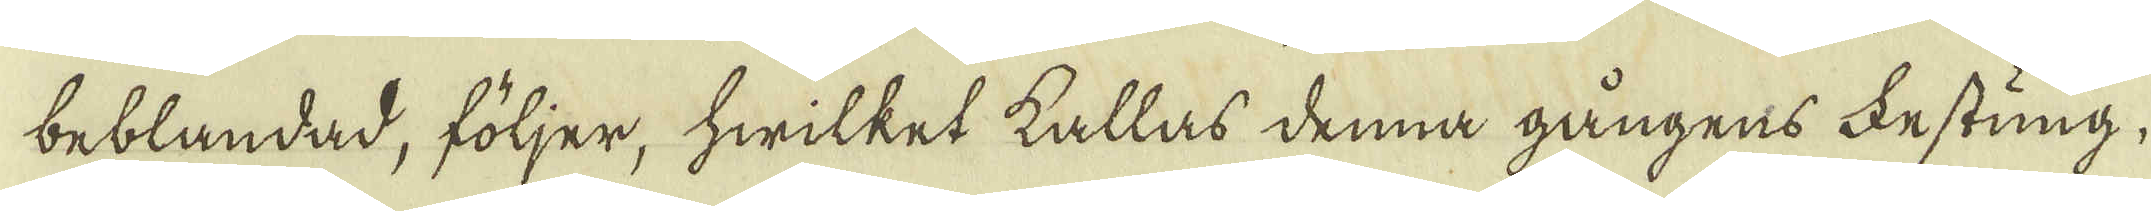beblandad, följer, hwilket kallas denna gångens Festung,
